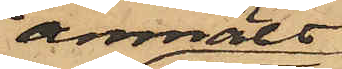anmält,
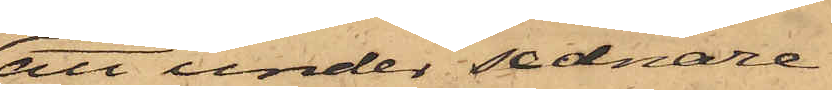att under sednare
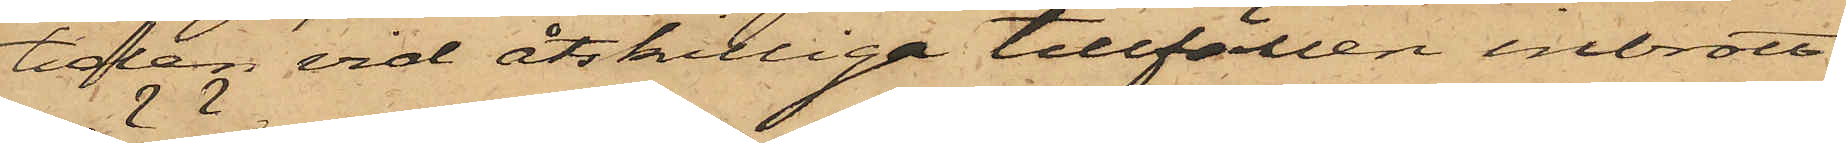tiden, vid åtskilliga tillfällen inbrott
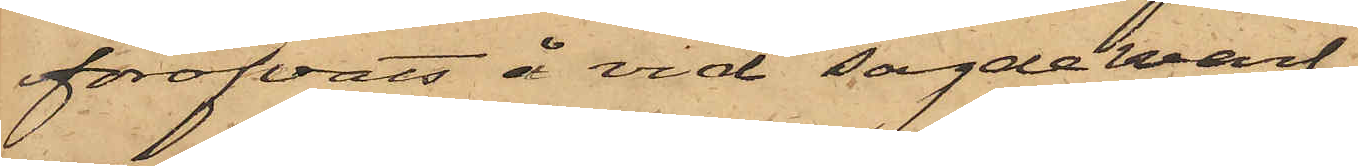föröfvats å vid sagde warf
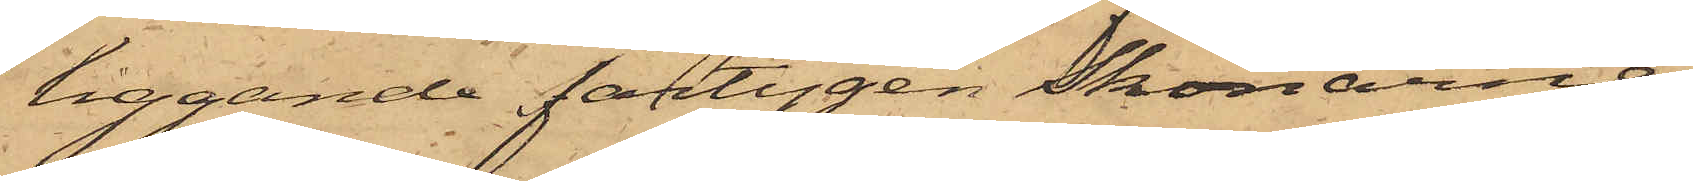liggande fartygen Skonarne
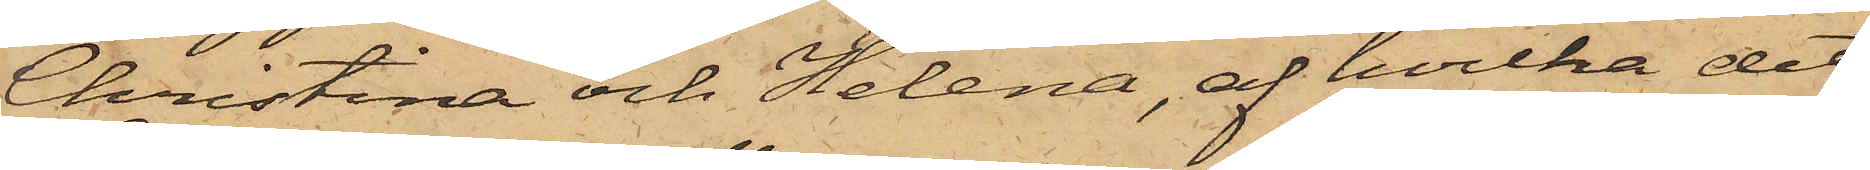Christina och Helena, af hvilka det
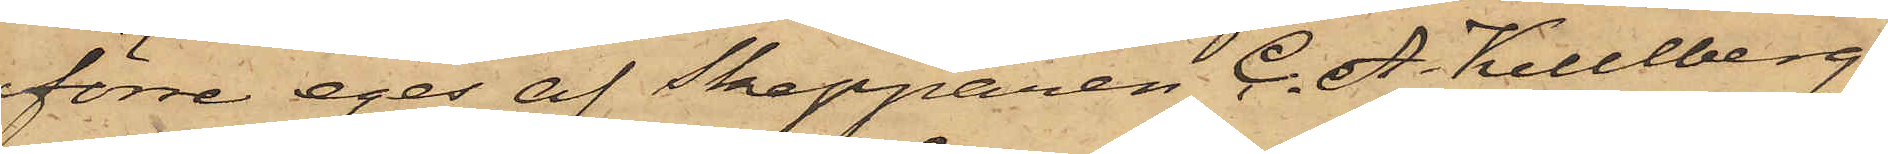förre eges af Skepparen C. A. Kullberg,
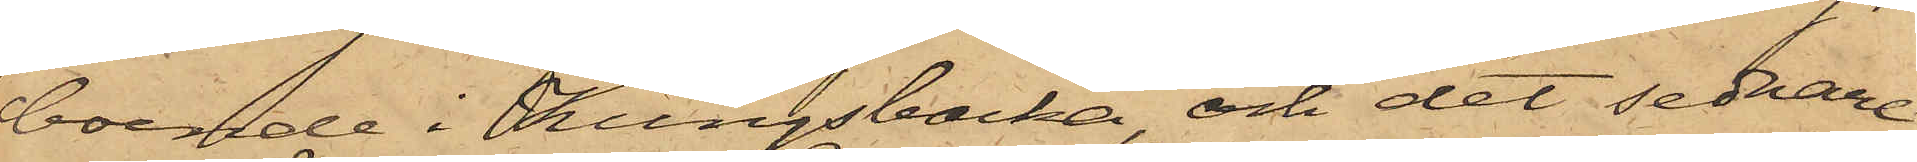boende i Kungsbacka och det sednare
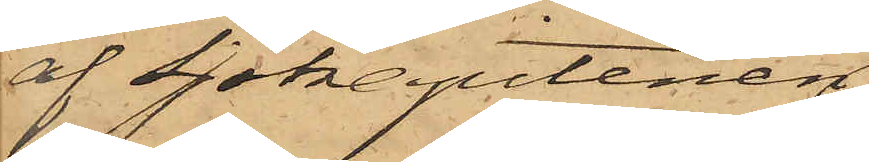af Sjökaptenen
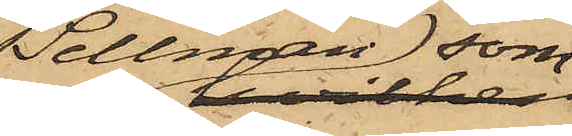Sellman, som
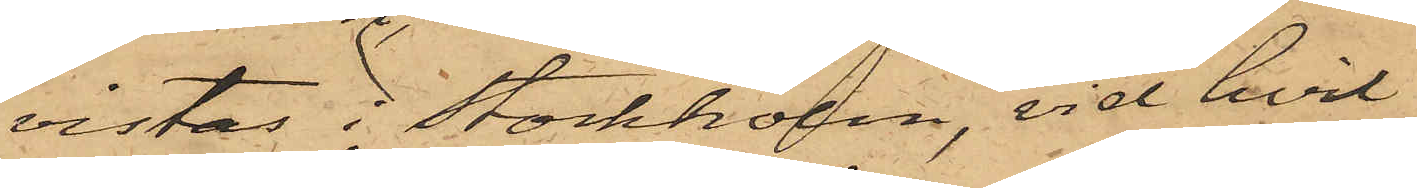vistas i Stockholm, vid hvil¬
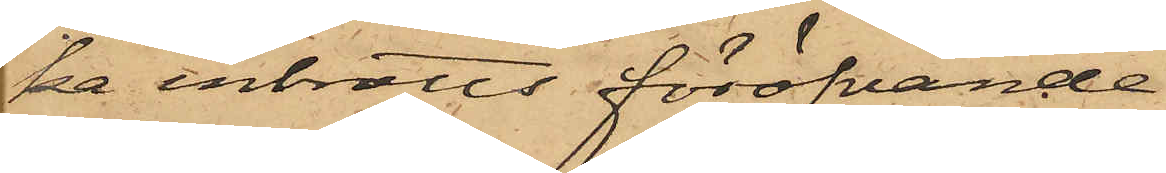ka inbrotts föröfvande
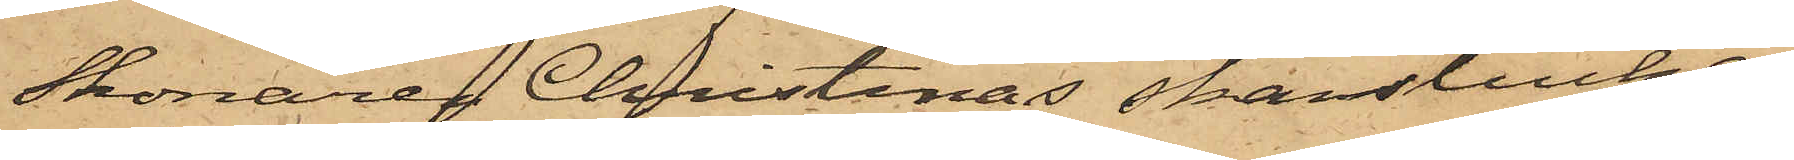Skonaren Christinas skanslucka,
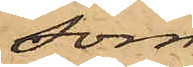som
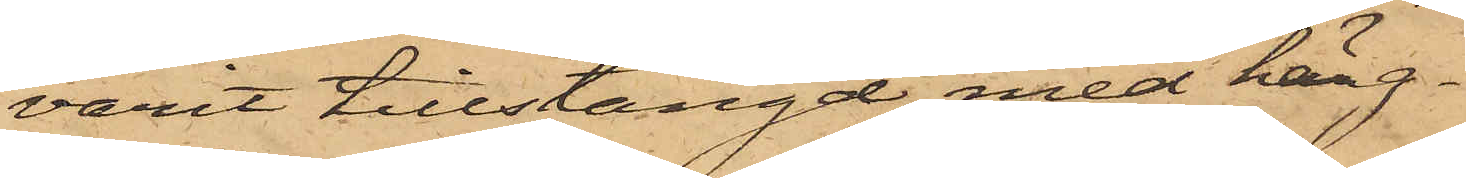varit tillstängd med häng¬
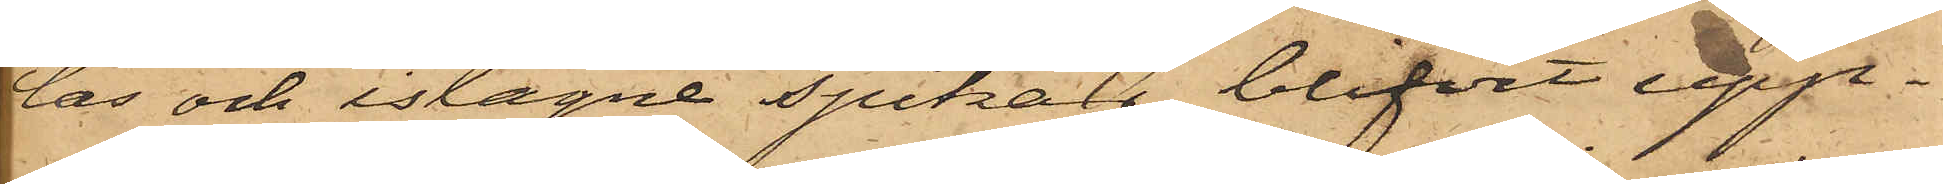lås och islagne spikar, blifvit upp¬
